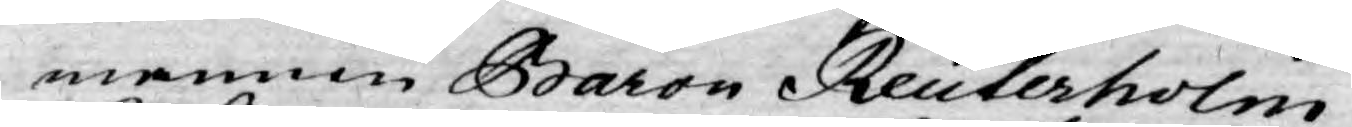mannen Baron Reuterholm
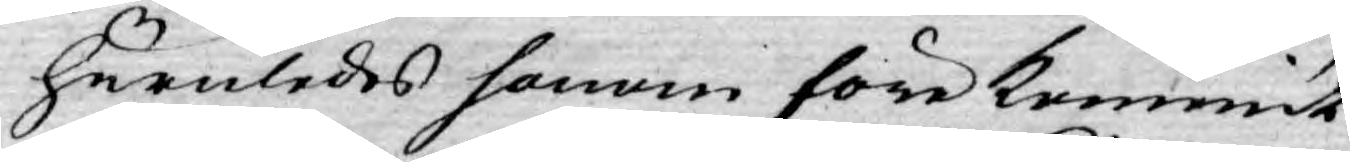huruledes honom förekommit
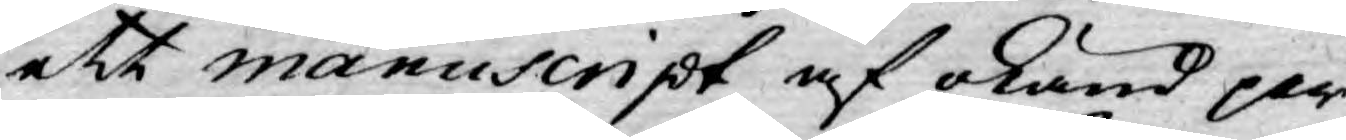ett manuscript af okänd per¬
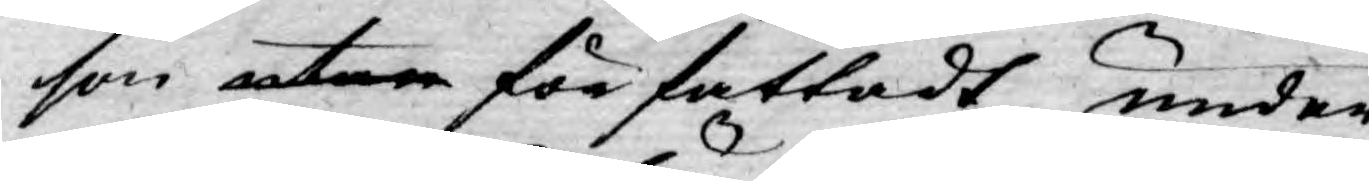son utan författadt under
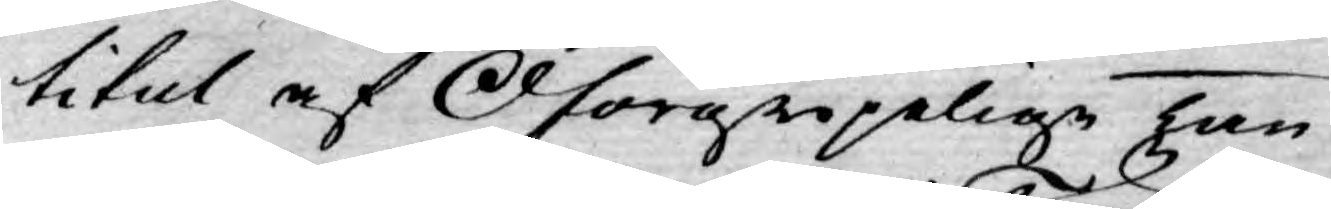titul af Oförgripelige tan¬
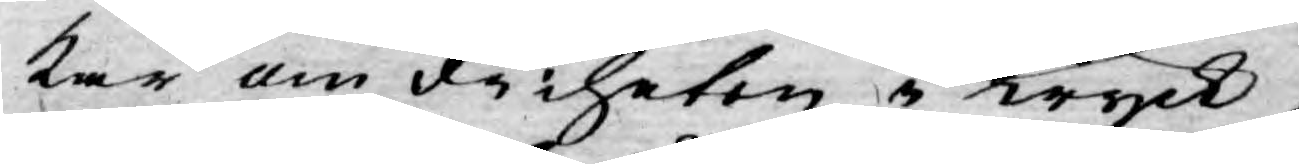kar om friheten i Tryck,
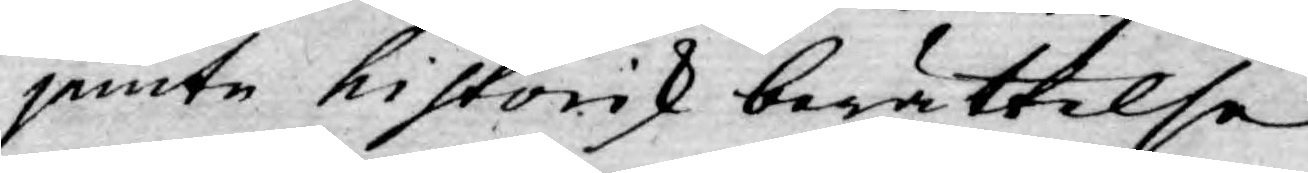jemte historisk berättelse
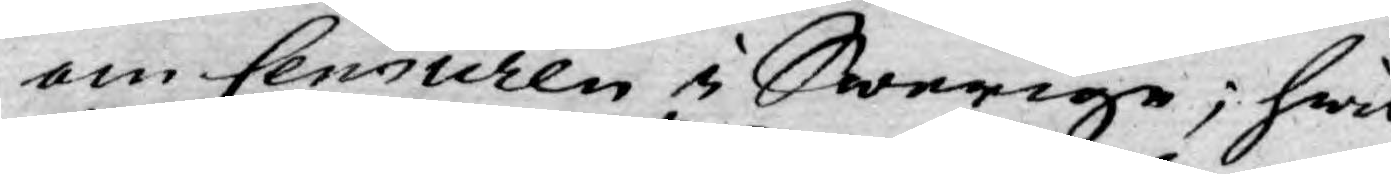om Censuren i Swerige; hwil¬
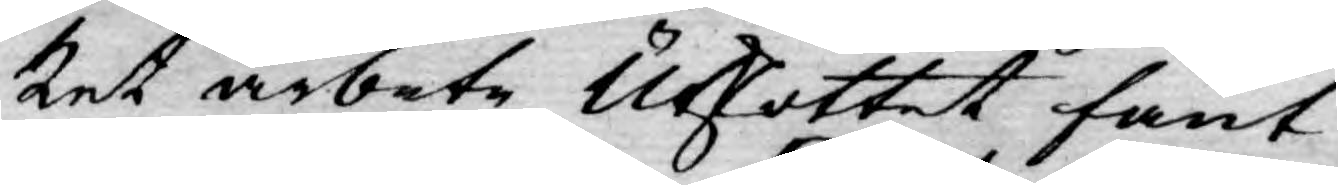ket arbete Utskottet fant
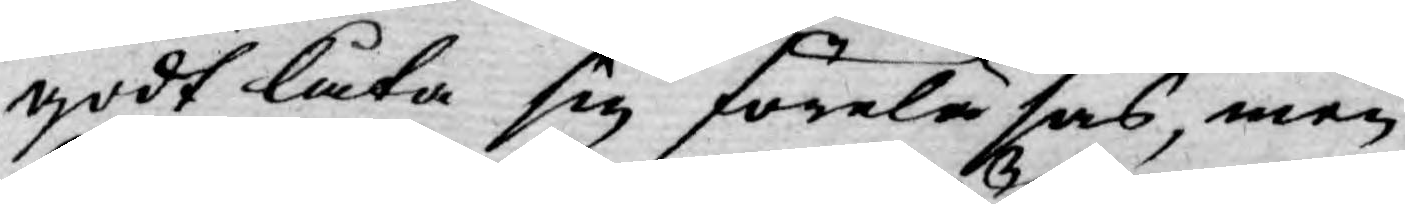godt låta sig föreläsas, men
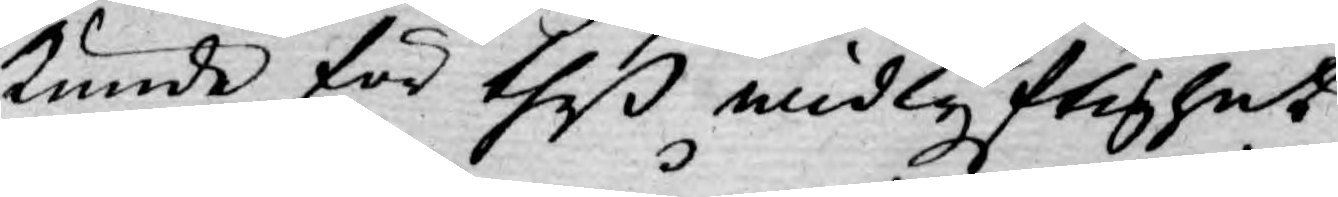kunde för theß widlyftighet
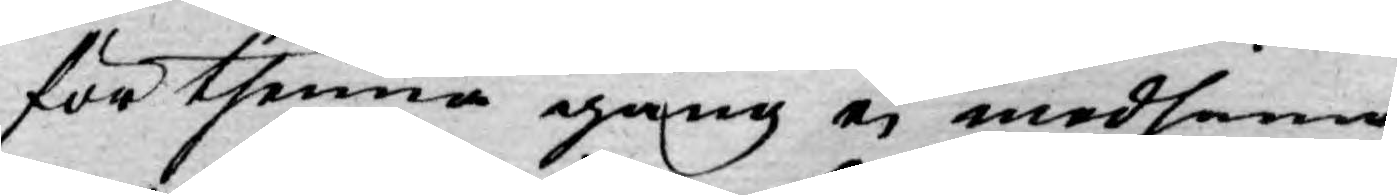för thenna gång ej medhinna
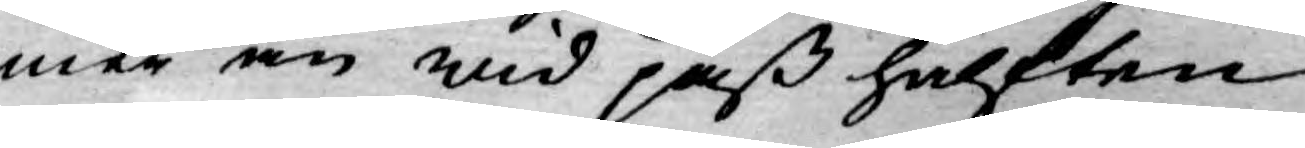mer än wid paß hälften.
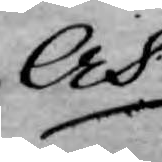Och
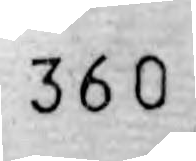360
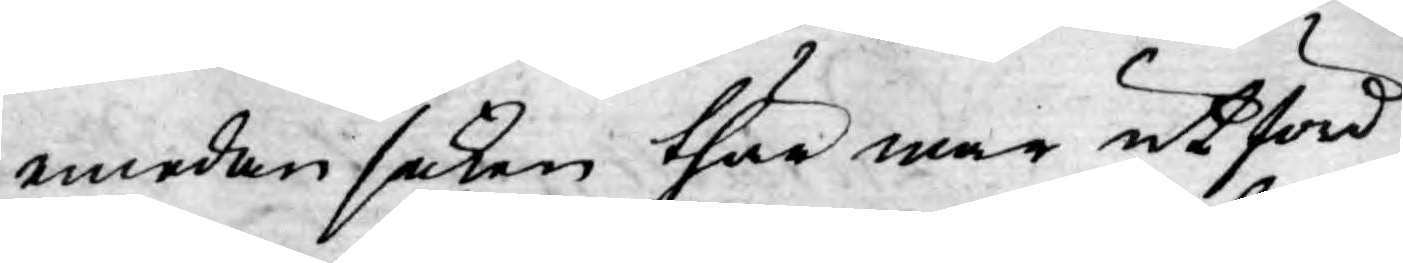emedan saken thär mer utförd
